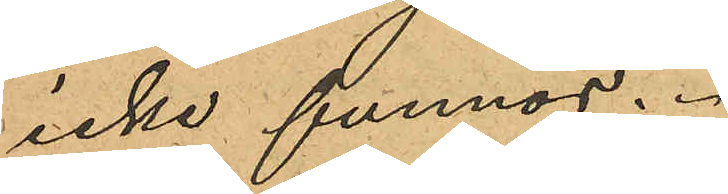icke funnos.
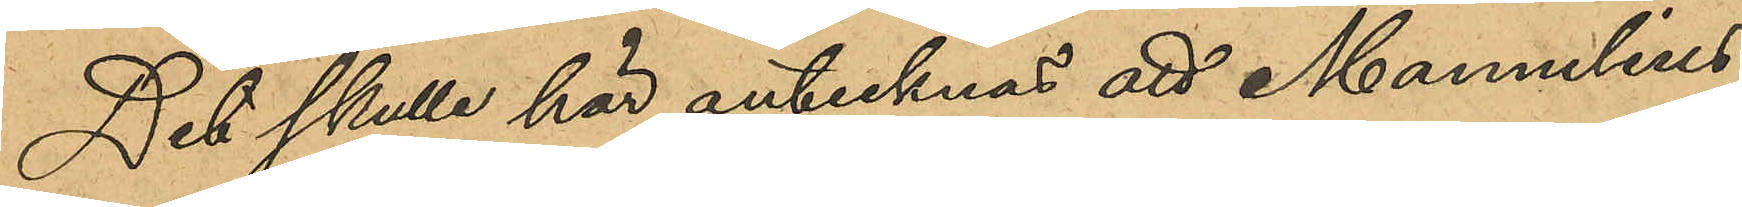Det skulle här antecknas att Mannelius
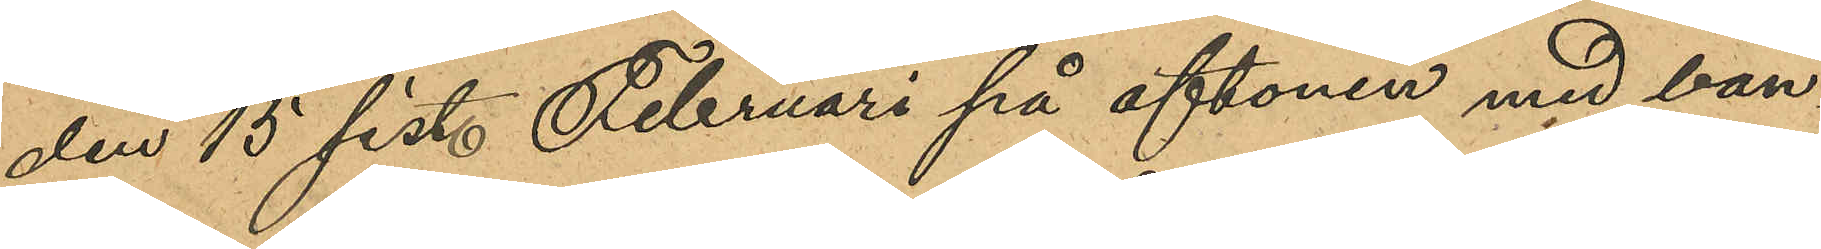den 15 sist. Februari på aftonen med ban¬
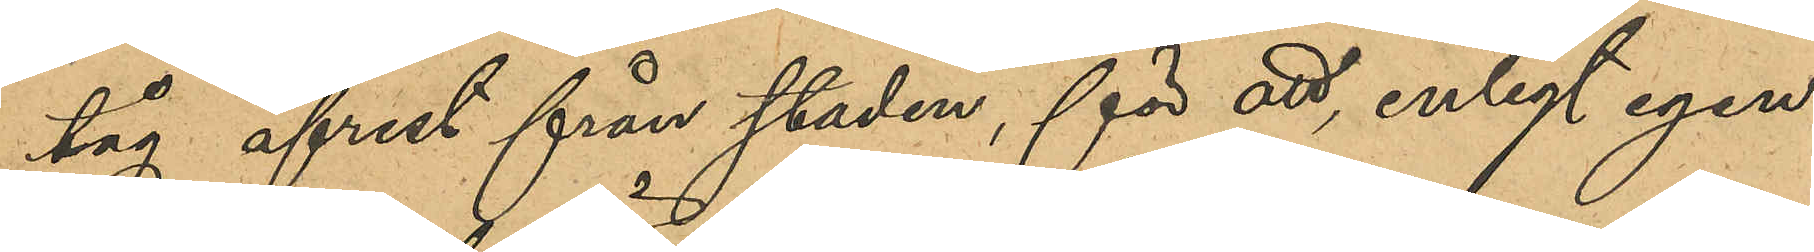tåg afrest från staden, för att, enligt egen
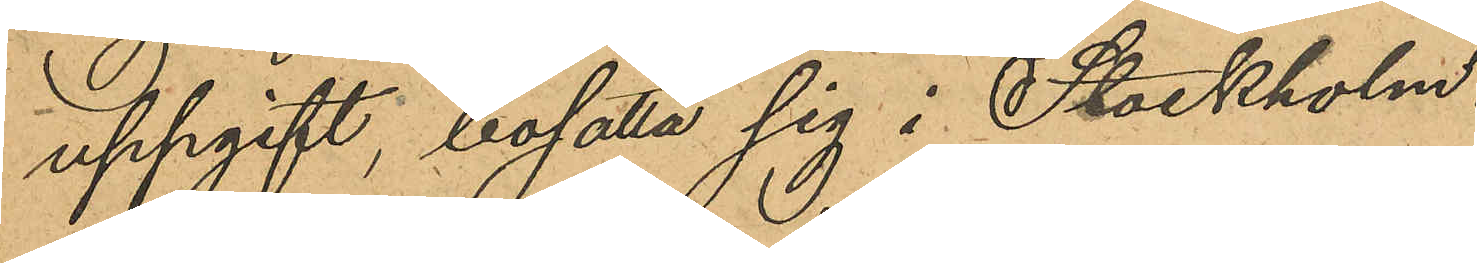uppgift, bosätta sig i Stockholm.
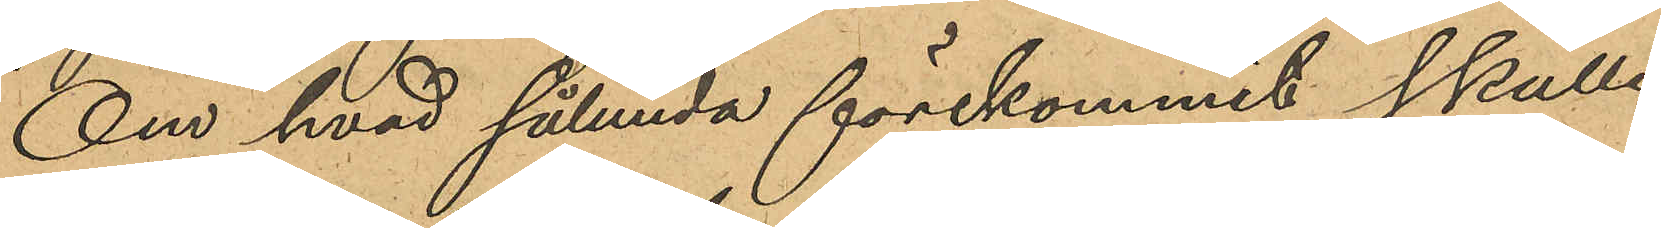Om hvad sålunda förekommit skulle
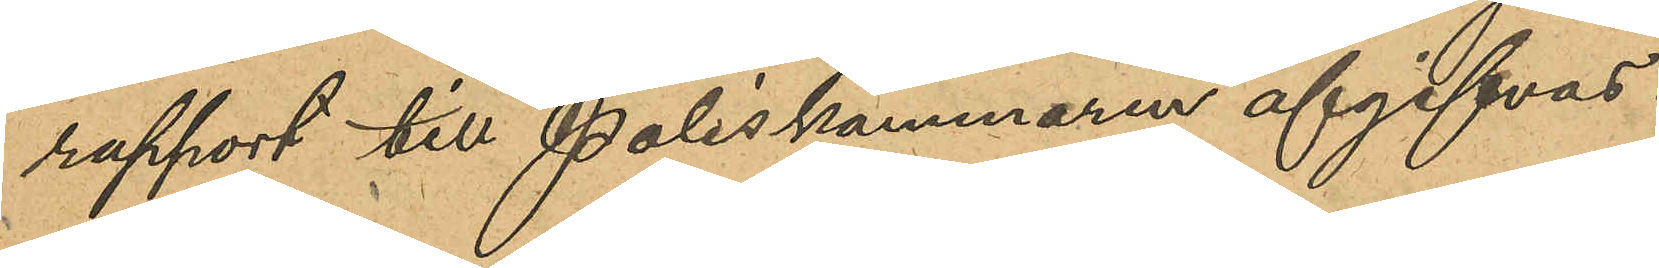rapport till Poliskammaren afgifvas.
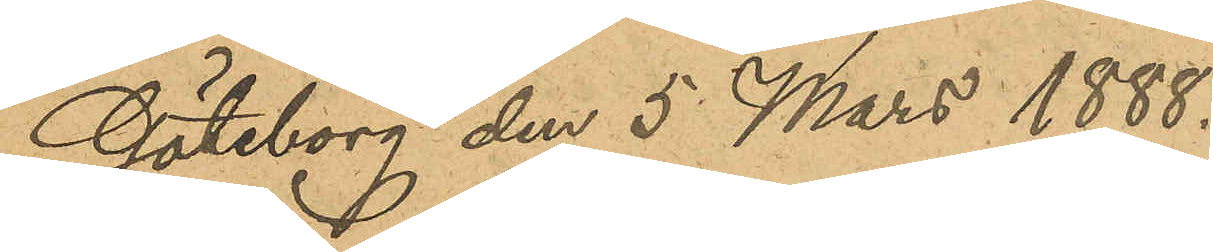Göteborg den 5 Mars 1888.
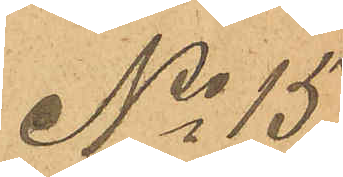No 15
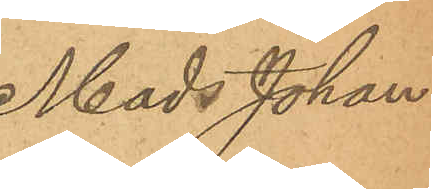Mads Johan¬
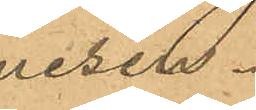nesen.
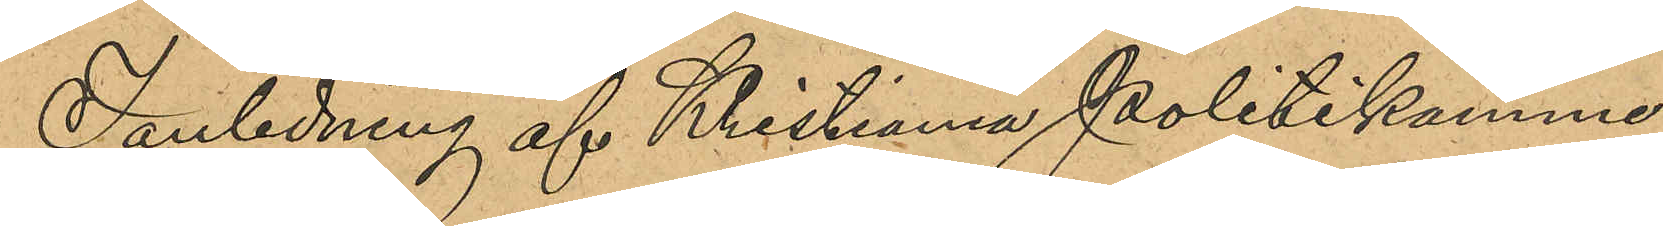I anledning af Kristiania Politikamme¬
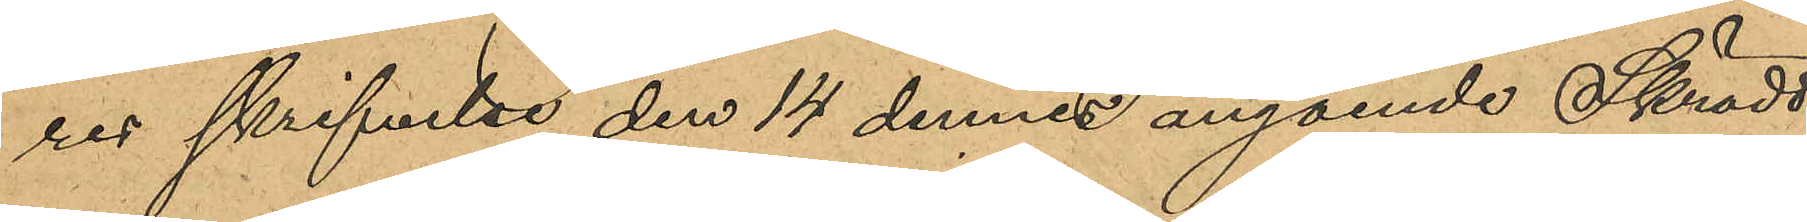res skrifvelse den 14 dennes angående Skrädd¬
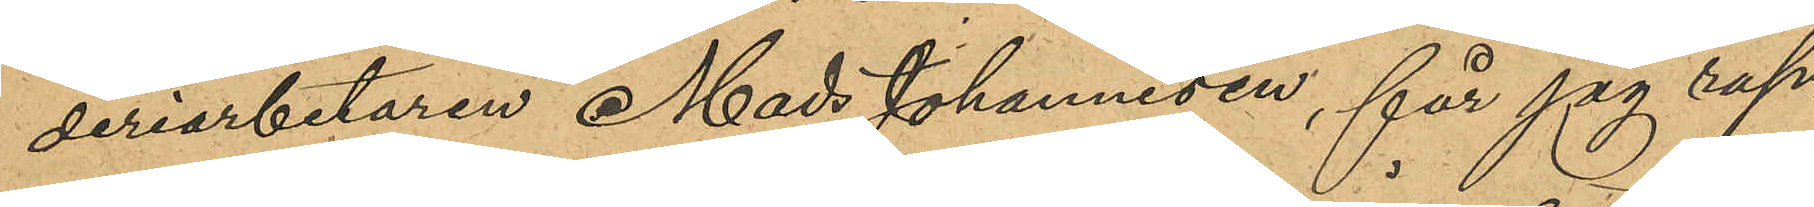deriarbetaren Mads Johannesen, får jag rap¬
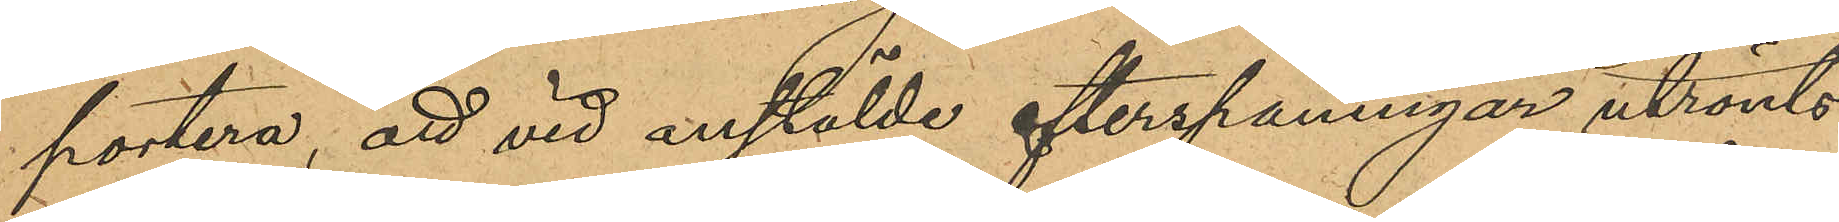portera, att vid anstälde efterspaningar utrönts
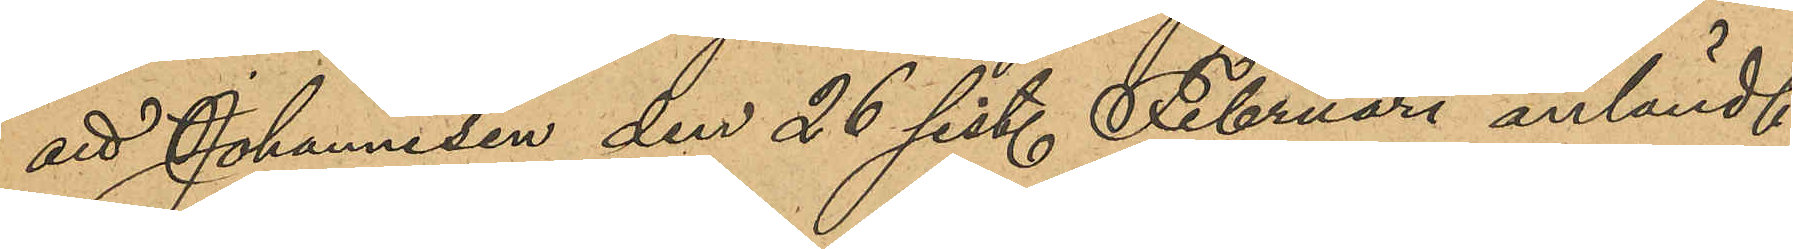att Johannesen den 26 sist. Februari anländt
